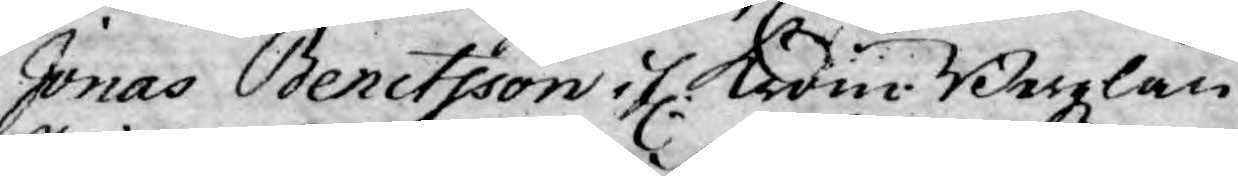Jonas Benctsson if. kron.Bergzlän
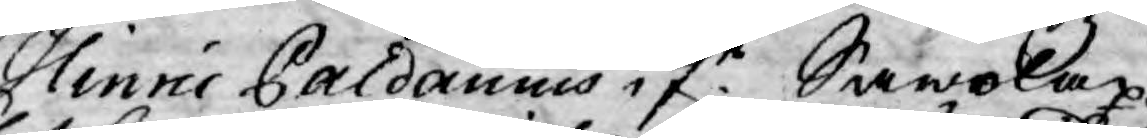Hinric Paldanius ifr. Sawolax
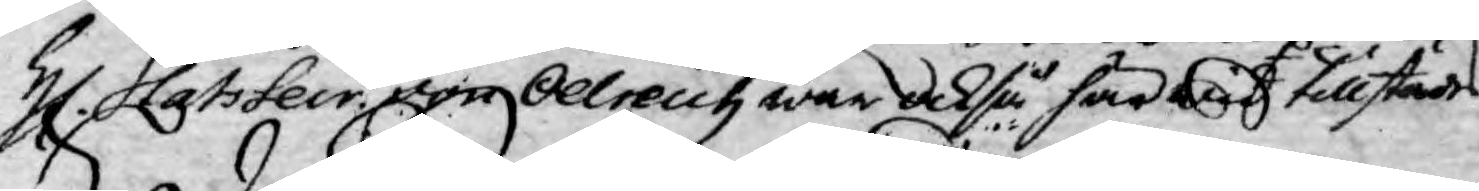H. Stats Secr. von Oelreich war också här wid tillstädes.
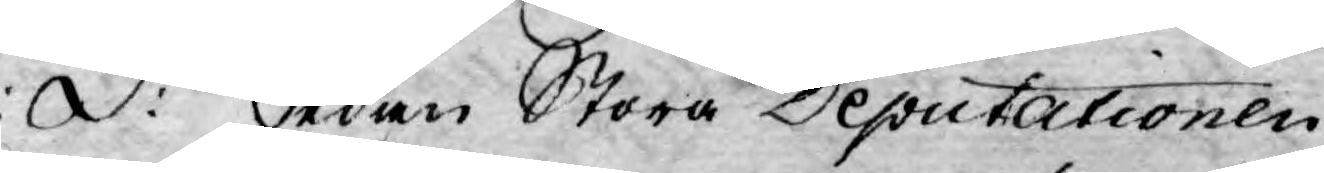S:d: Sedan Stora Deputationen,
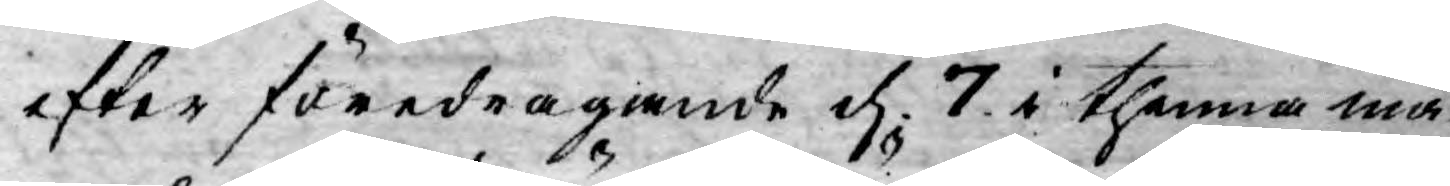efter föredragande d. 7. i thenna må¬
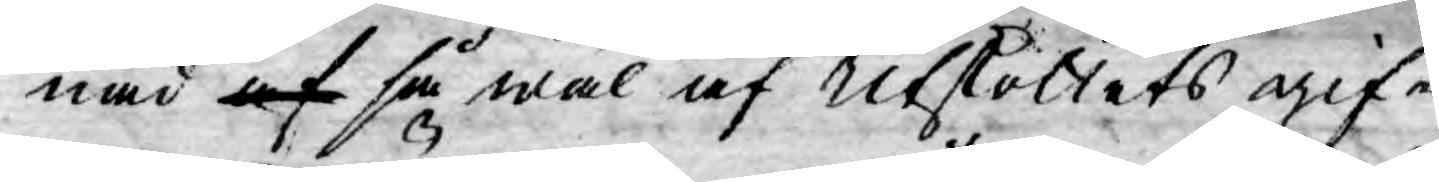nad af så wäl af Utskottets gif¬
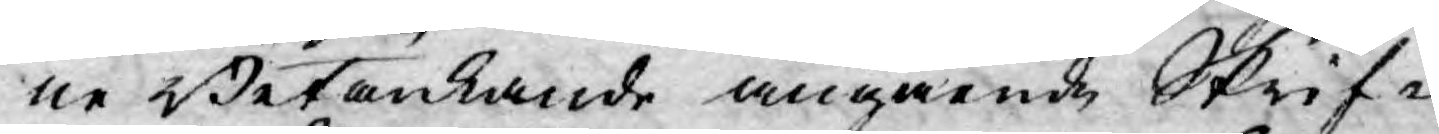ne Betänkande angående Skrif¬
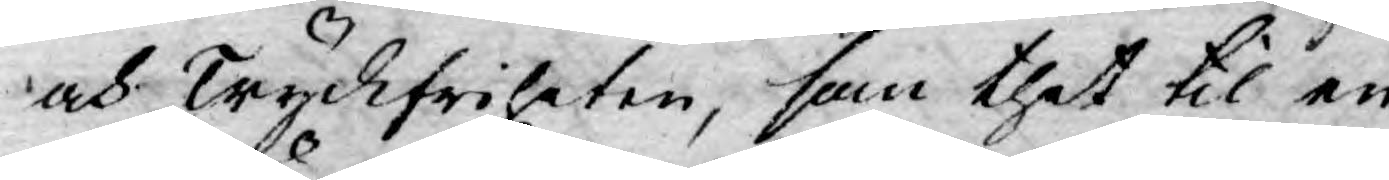och Tryckfriheten, som thet til en
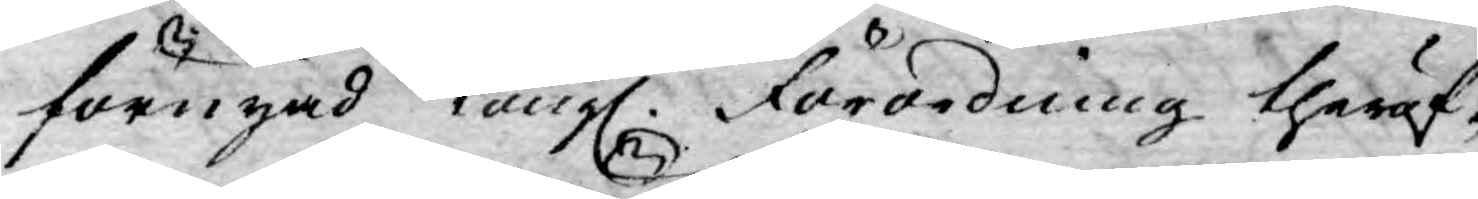förnyad Kongl. Förordning theröf¬
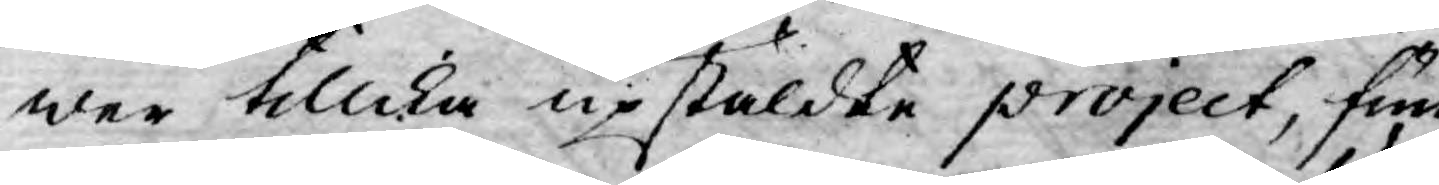wer tillika upstäldte project, fun-
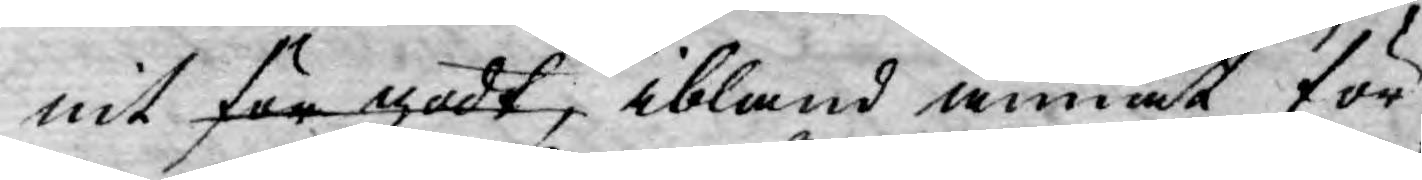nit för godt, ibland annat för
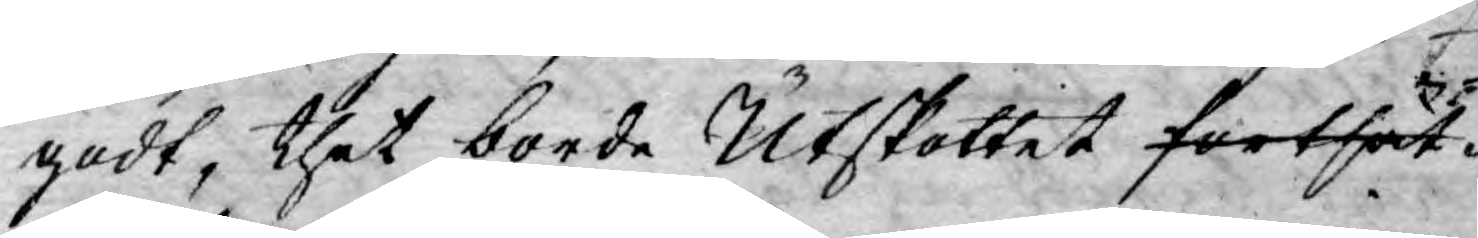godt, thet borde Utskottet fortsät¬
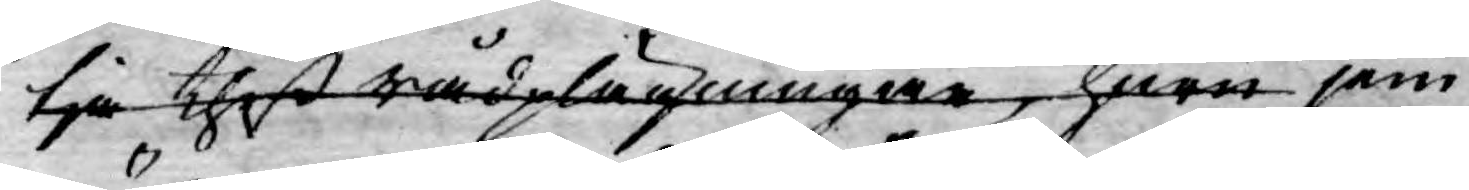tja thed rådplägningar, hwar jem¬
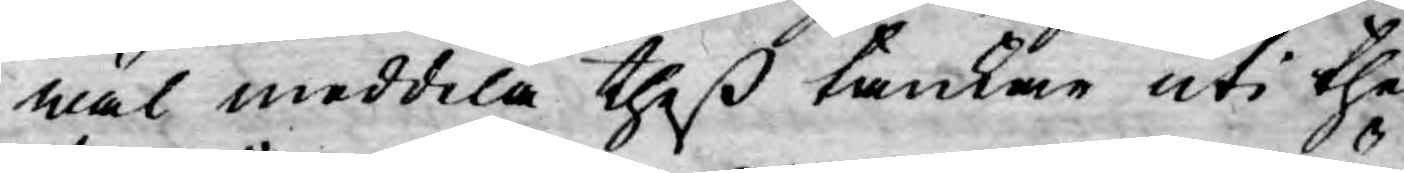wäl meddela theß tankar uti the
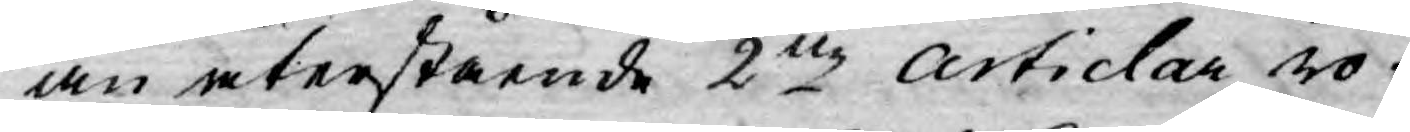än återstående 2ne Articlar, rö¬
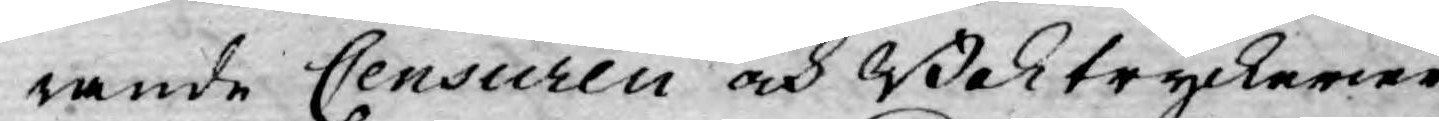rande Censuren och Boktryckerier¬
